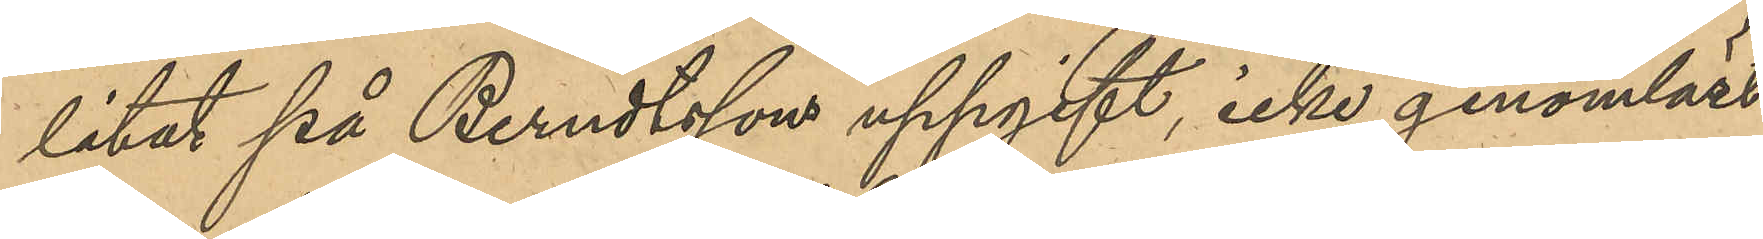litat på Berndtssons uppgift, icke genomläst
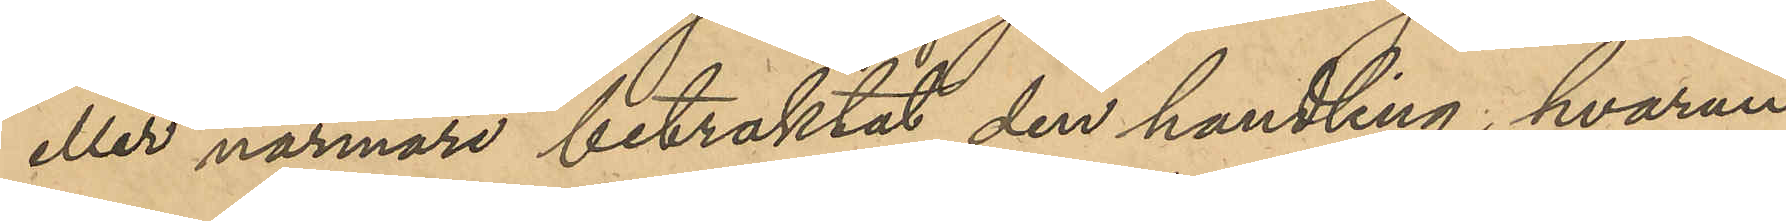eller närmare betraktat den handling, hvarun¬
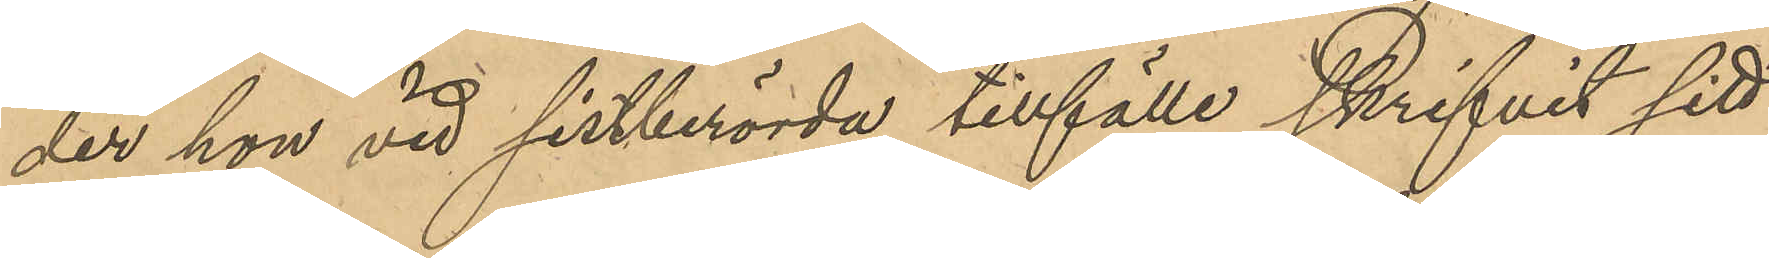der hon vid sistberörde tillfälle skrifvit sitt
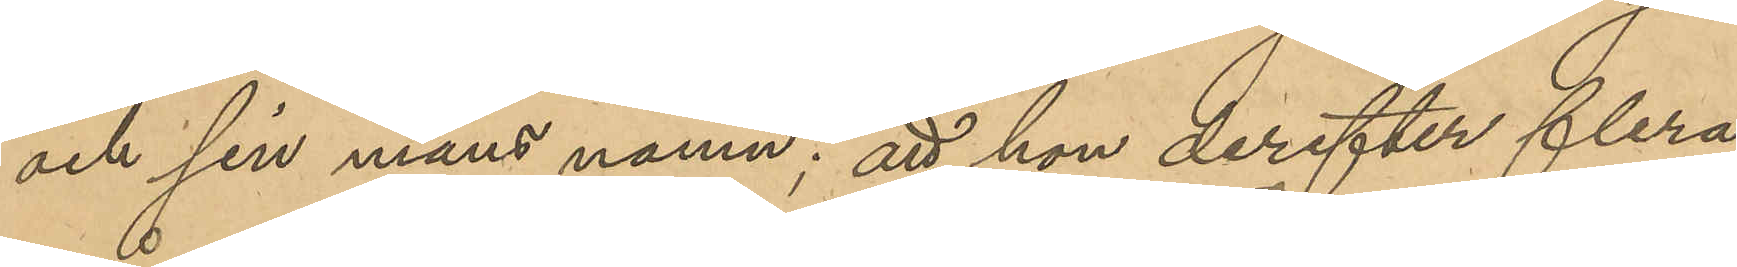och sin mans namn; att hon derefter flera 
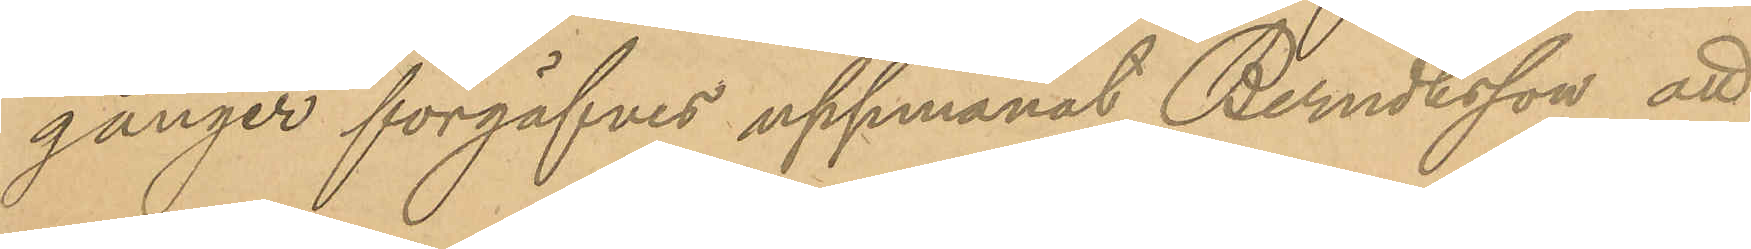gånger förgäfves uppmanat Berndtsson att
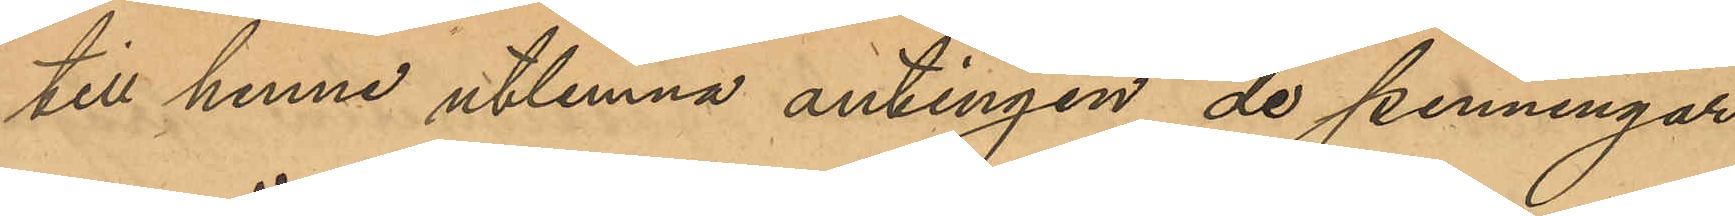till henne utlemna antingen de penningar
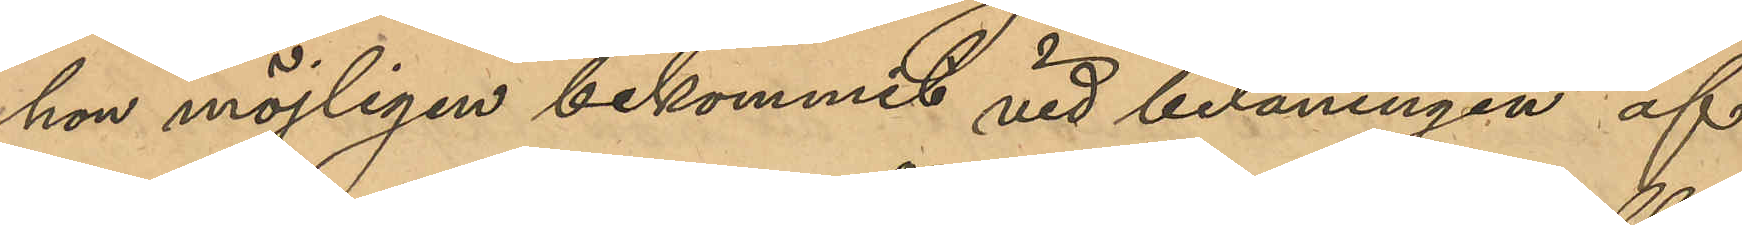hon möjligen bekommit vid belåningen af 
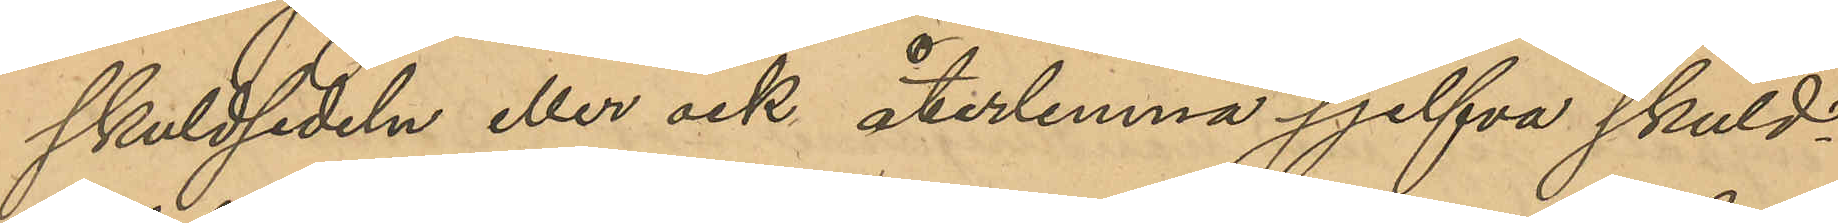skuldsedeln eller ock återlemna sjelfva skuld¬
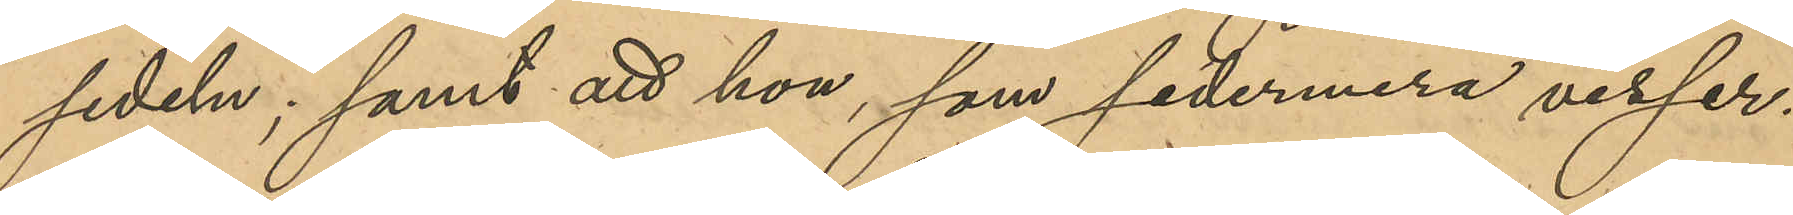sedeln; samt att hon, som sedermera visser¬
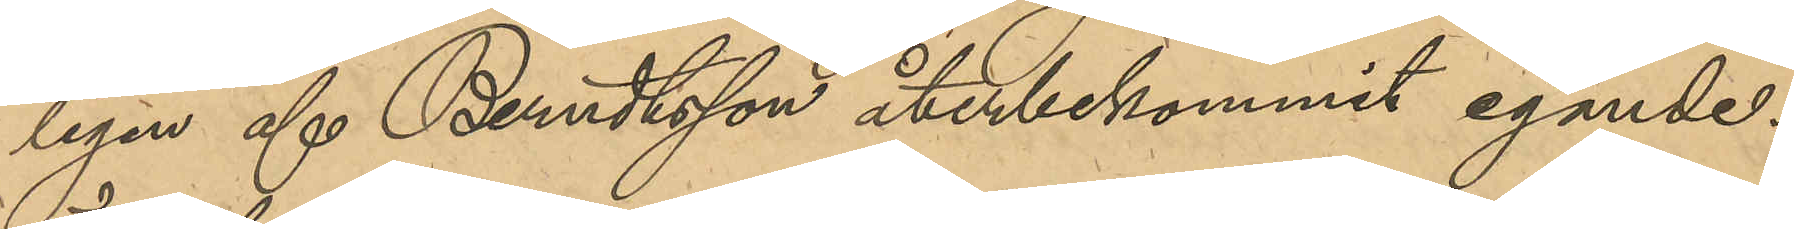ligen af Berndtsson återbekommit egande¬
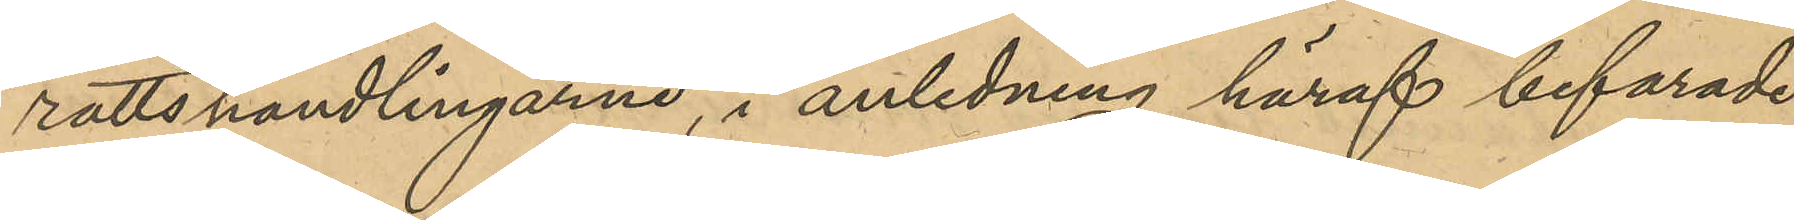rättshandlingarne, i anledning häraf befarade
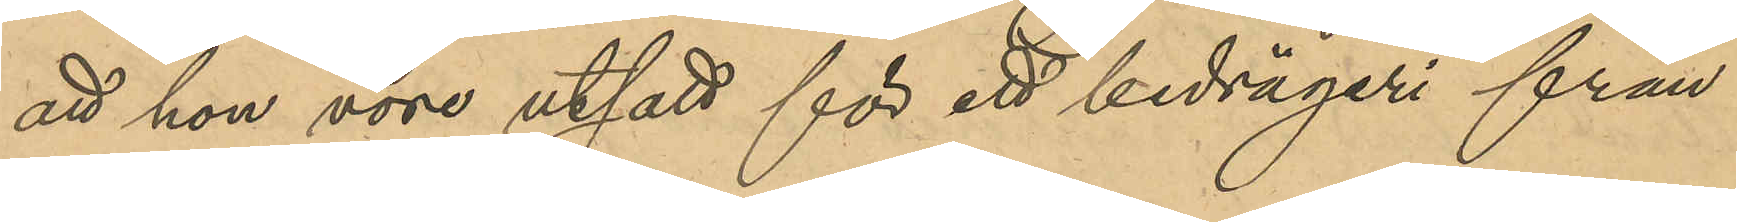att hon vore utsatt för ett bedrägeri från
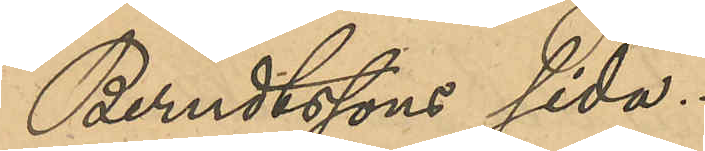Berndtsson sida.
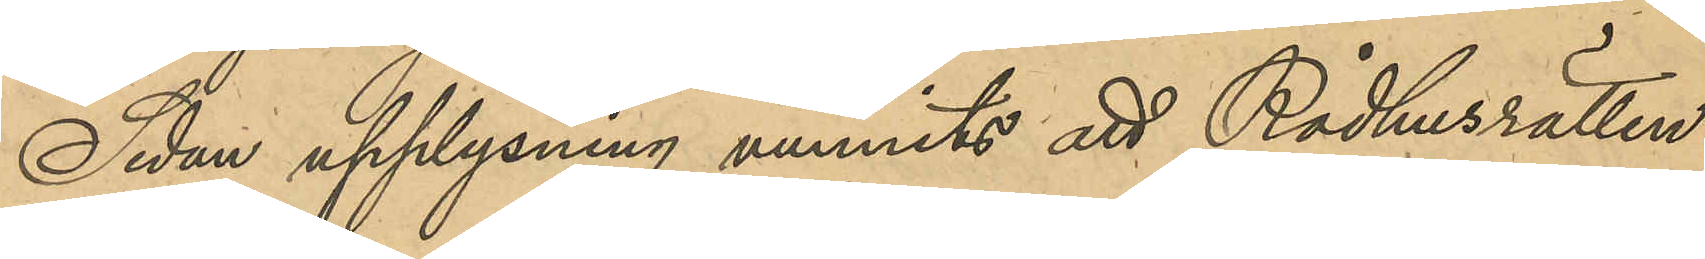Sedan upplysning vunnits att Rådhusrätten
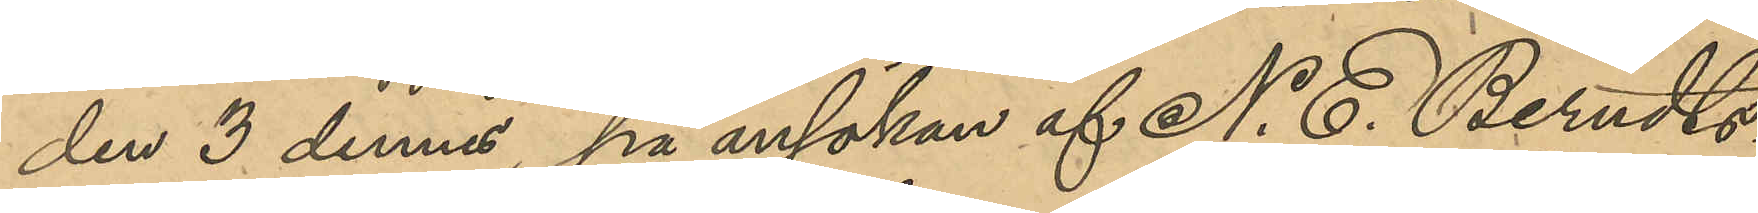den 3 dennes, på ansökan af N. E. Bendts¬
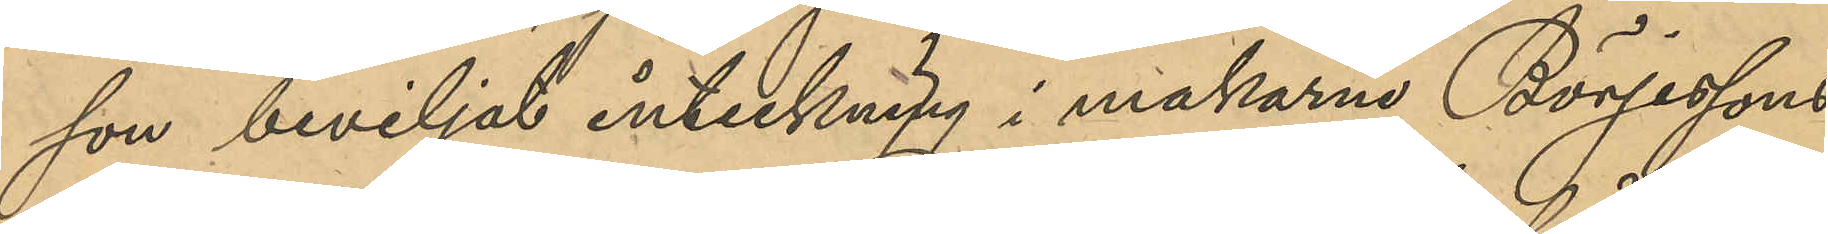son beviljad inteckning i makarne Börjessons
